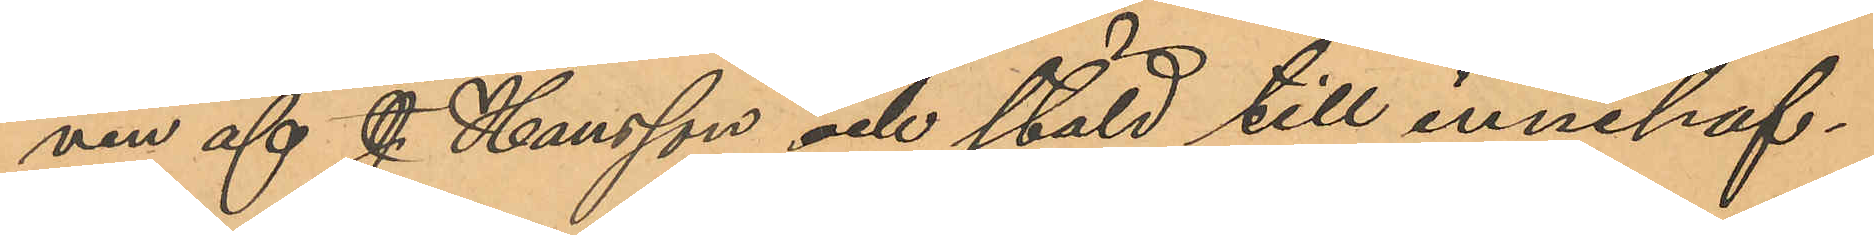ven af J. Hansson och stäld till innehaf¬
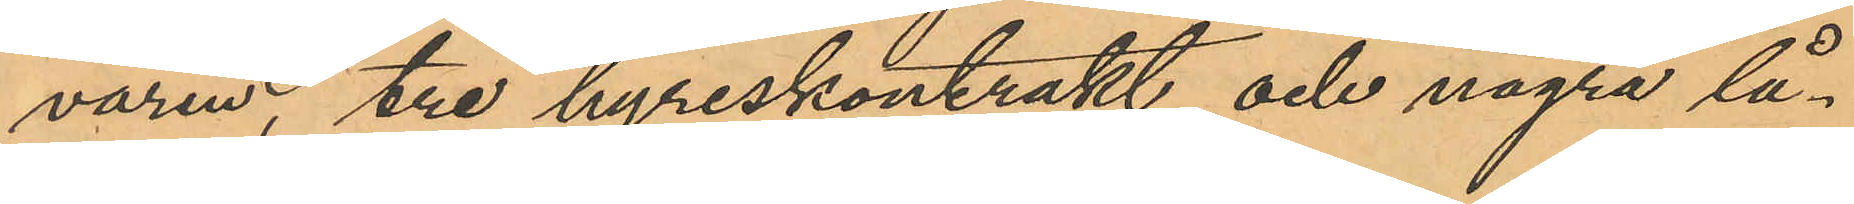varen, tre hyreskontrakt och några lå¬
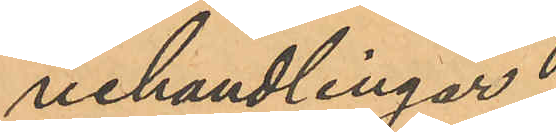nehandlingar.
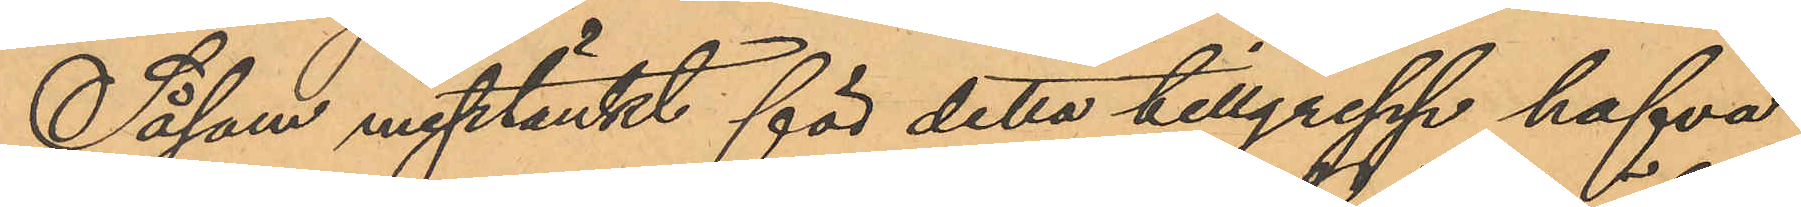Såsom misstänkt för detta tillgrepp hafva
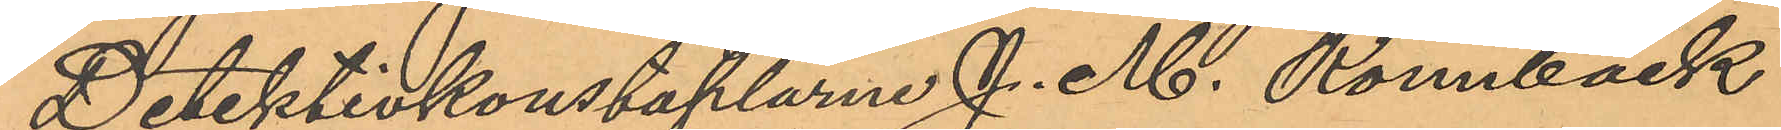Detektivkonstaplarne J. M. Rönnbäck
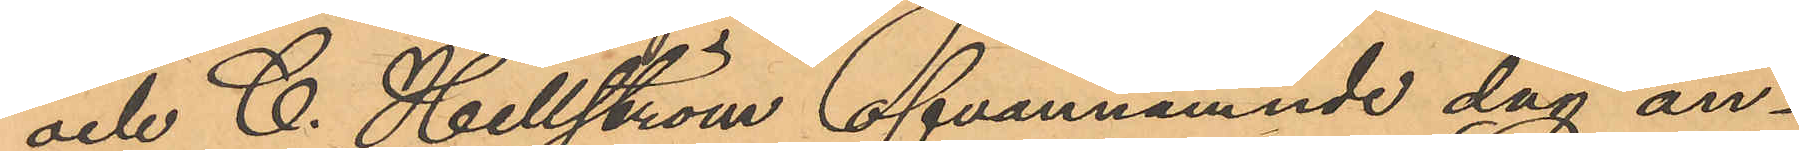och C. Hellström ofvannämnde dag an¬
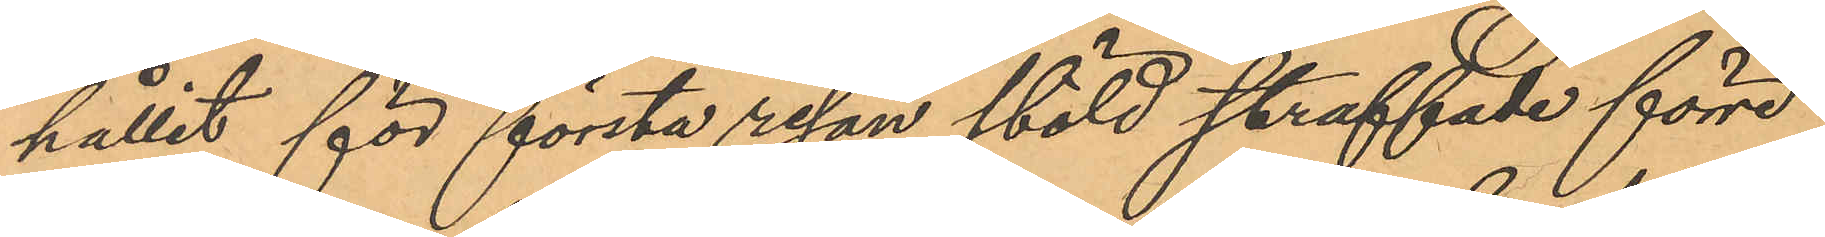hållit för första resan stöld straffade förre
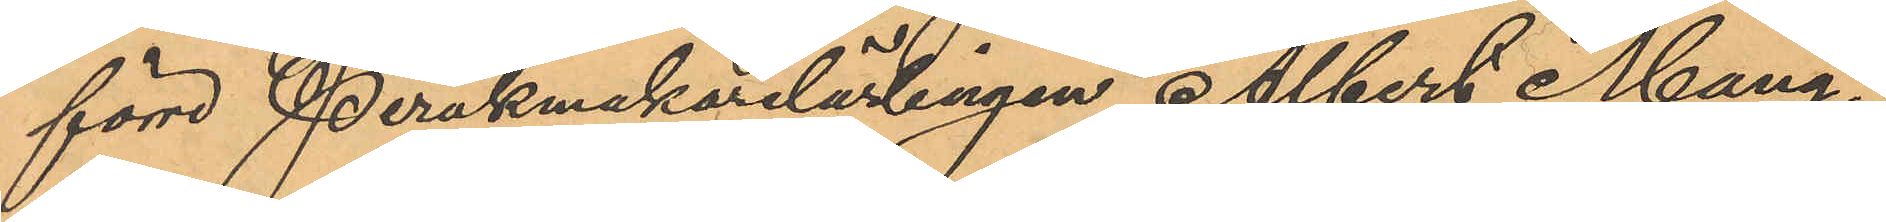förre Perukmakarelärlingen Albert Mang¬
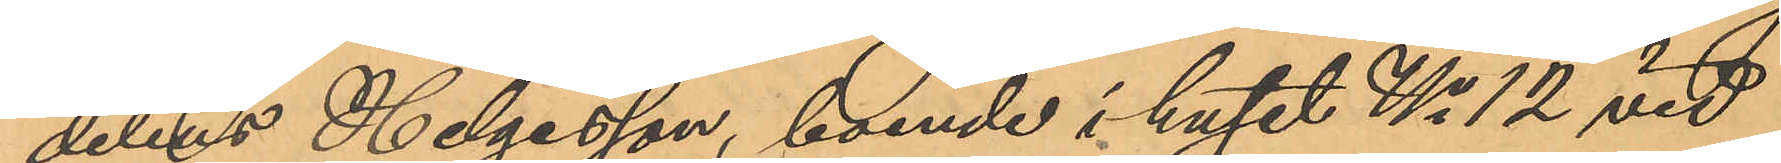delius Helgesson, boende i huset No 12 vid
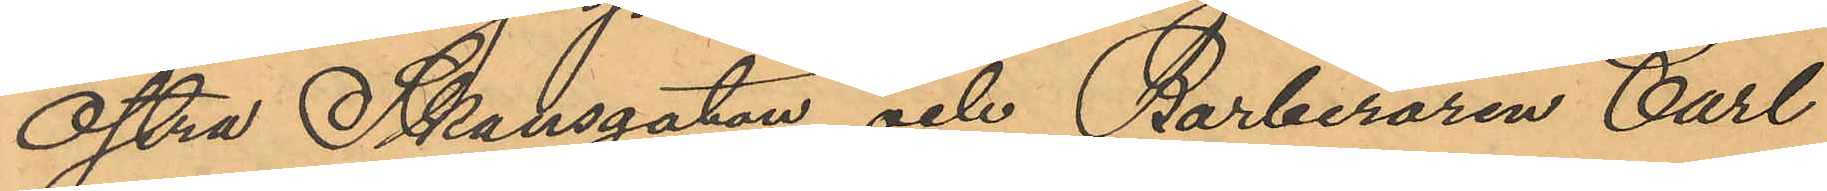Östra Skansgatan och Barberaren Carl
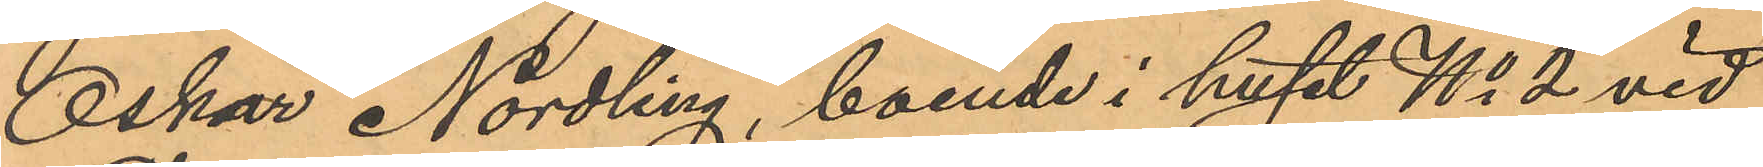Oskar Nordling, boende i huset No 2 vid
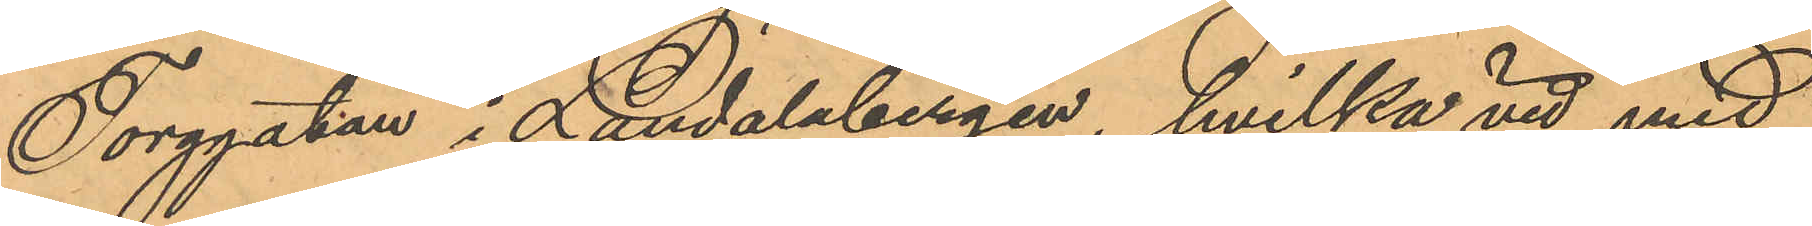Torggatan i Landalabergen, hvilka vid med
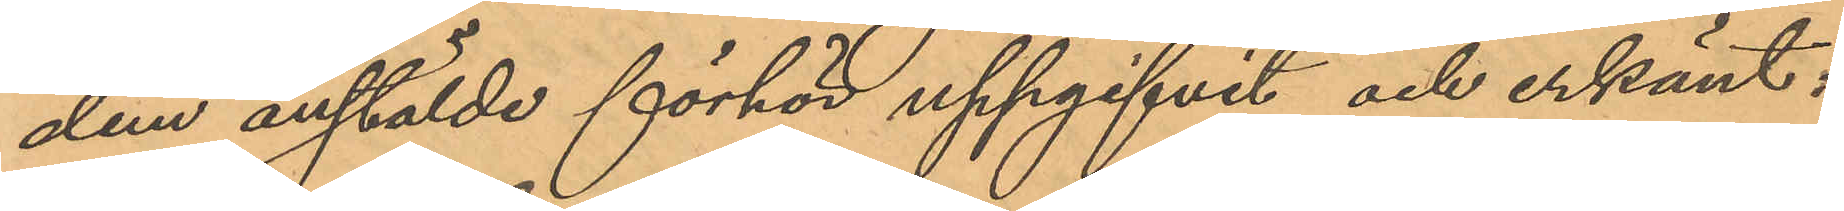dem anstälde förhör uppgifvit och erkänt:
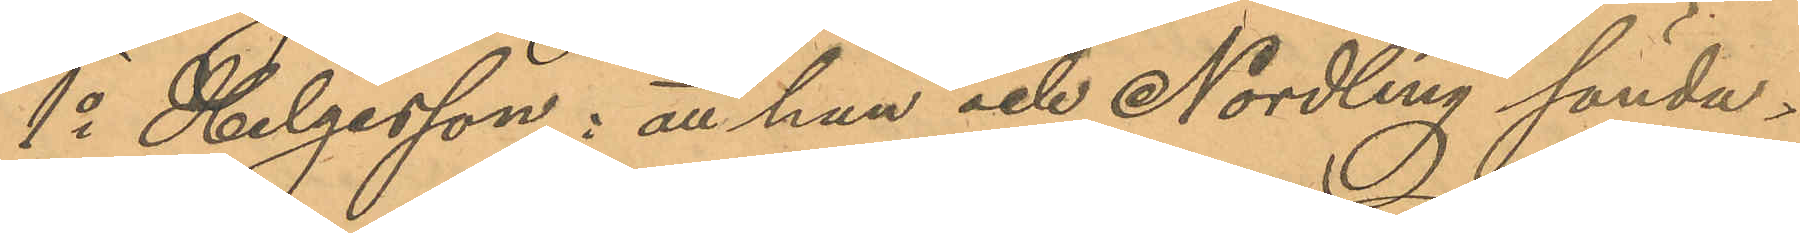1o Helgesson: att han och Nordling sönda¬
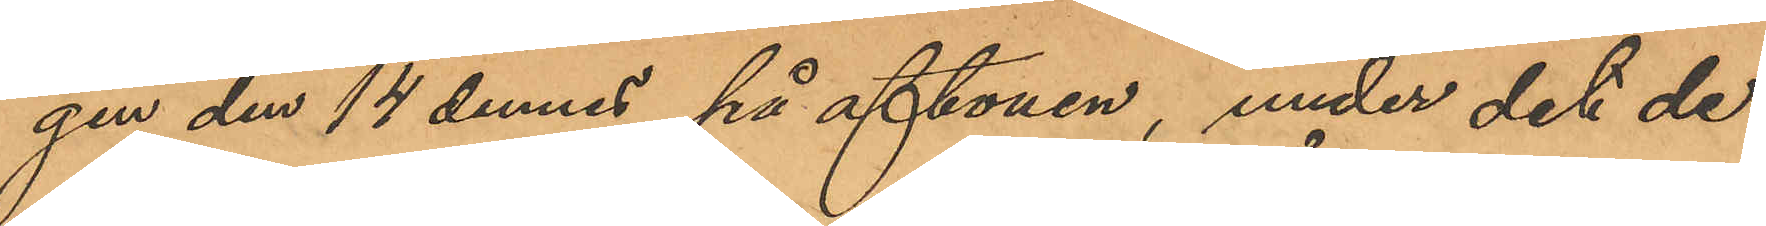gen den 14 dennes på aftonen, under det de
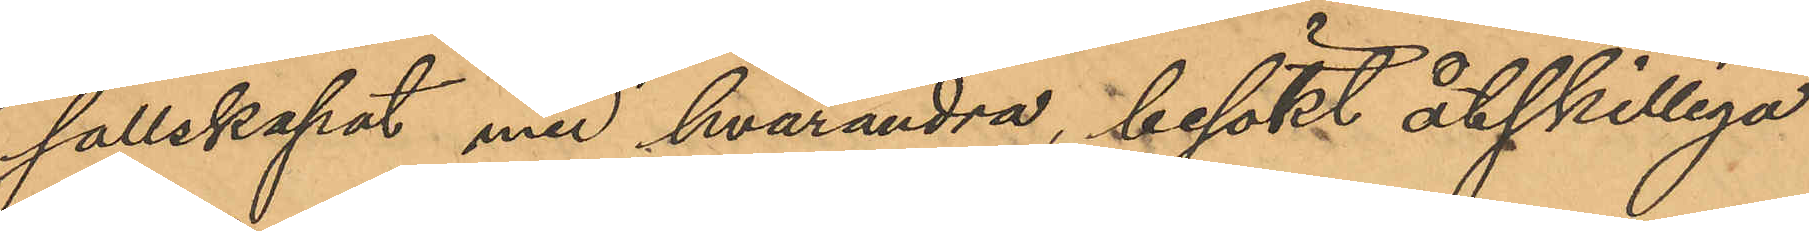sällskapat med hvarandra, besökt åtskilliga
